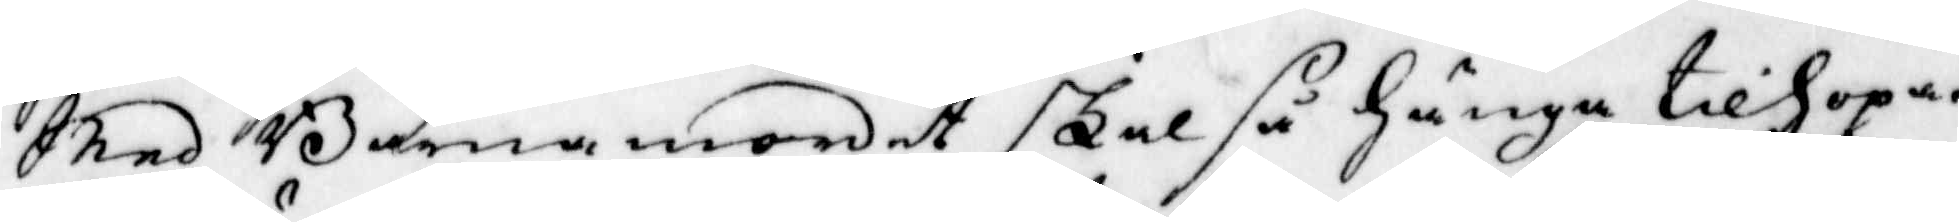Med Barnamordet skal så hänga tillhopa.
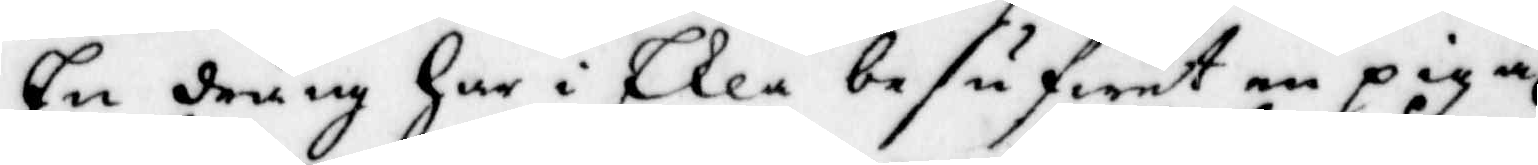En dräng Har i Ekla besufwit en piga 
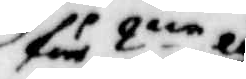för 2:ne åhr
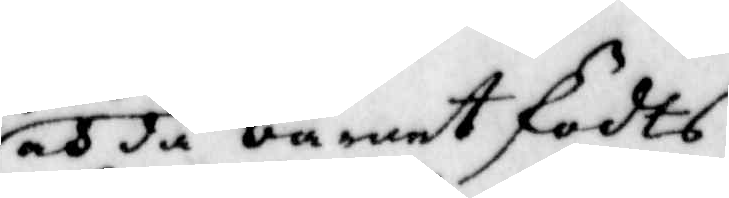och då barnet födts,
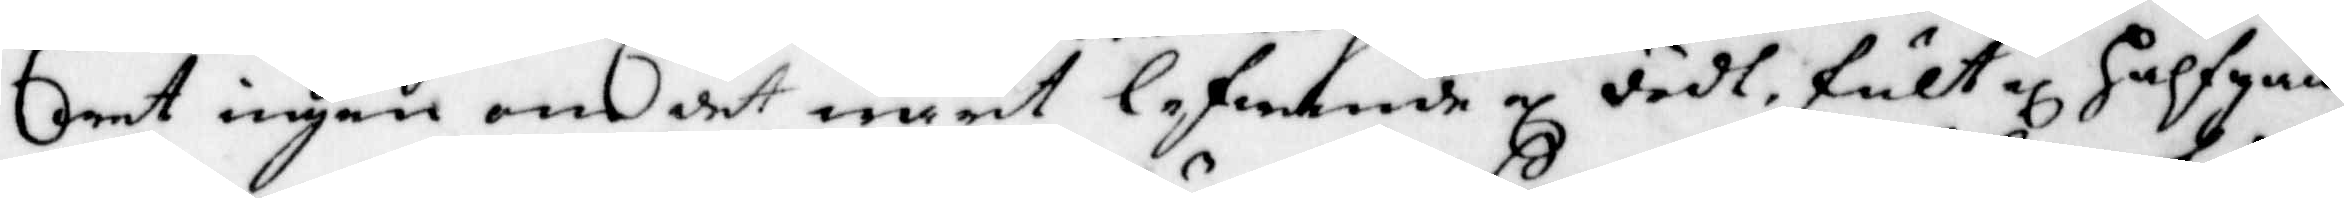wet ingen om det wart lefwande el dödt, fult el Halfgån¬
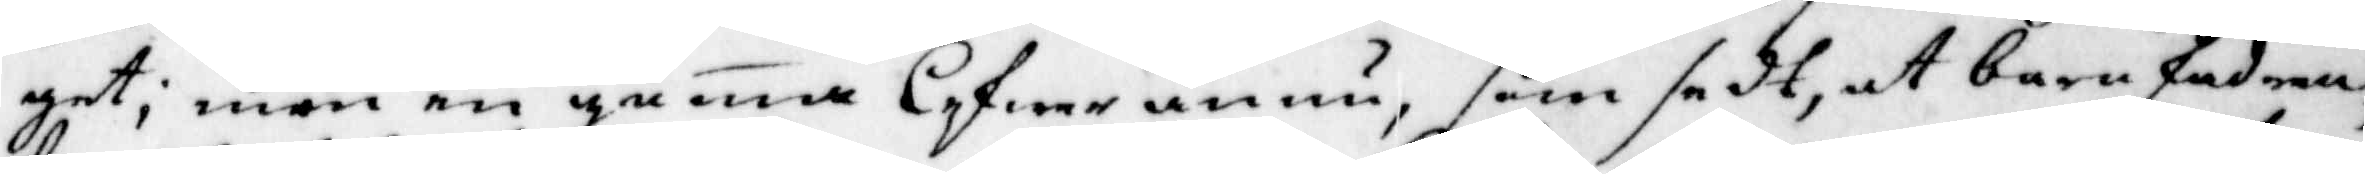get, men en guma lefwer ännu, som sedt, at barnfader
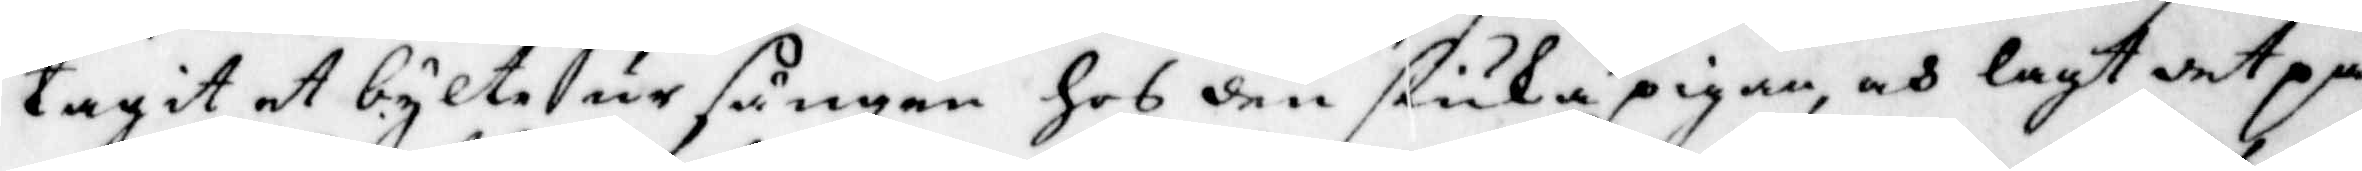tagit et bylte ur sängen hos den siuka pigan, och lagt det på
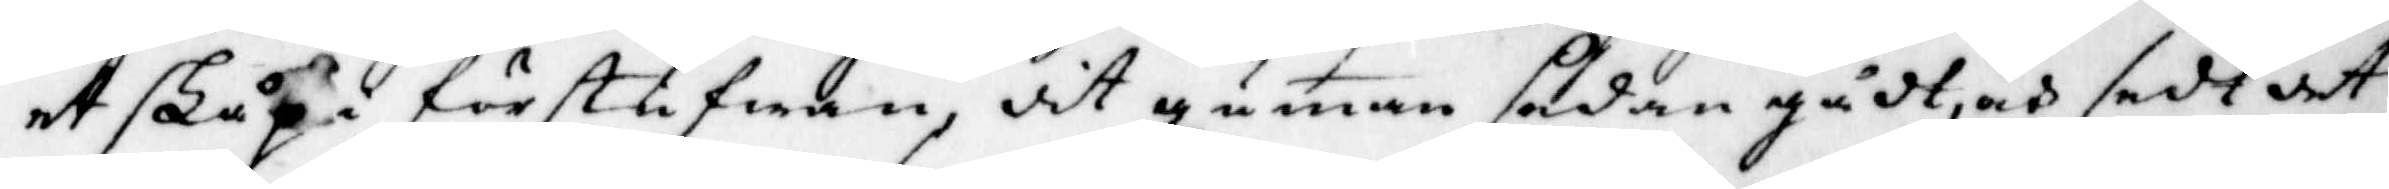et skåp i förstufwan, dit guman sedan gådt, och sedt at
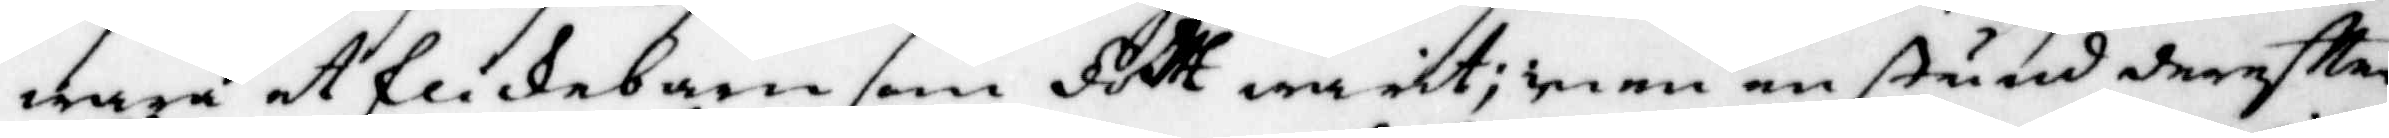wara et flikebarn som fött warit; men en stund dereftter
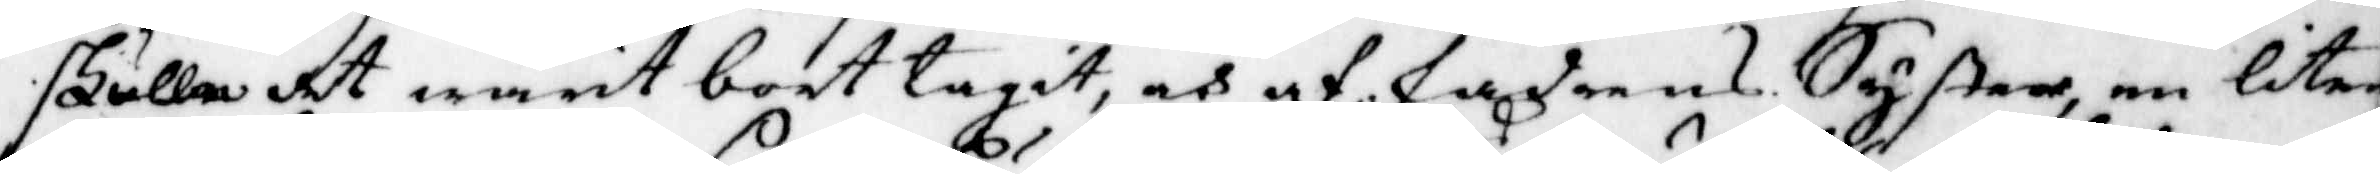skulle det warit bort tagit, och af fadrens Syster, en liten
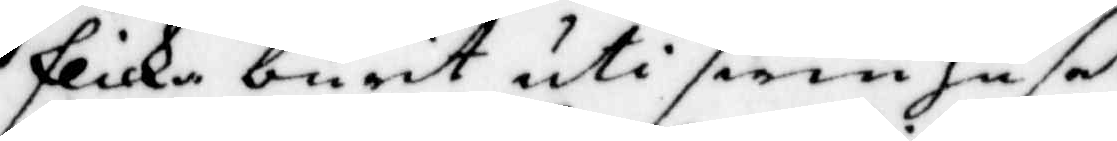flicka burit uti swin huset 
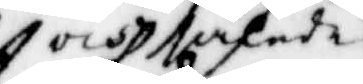och således
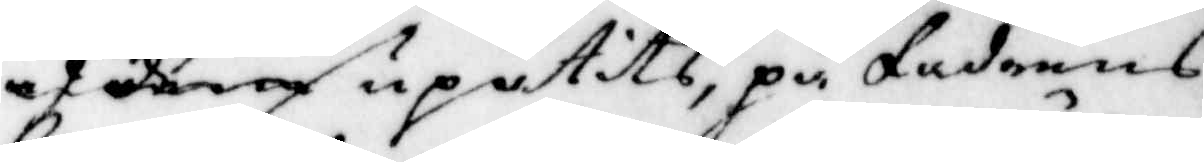af dem uppätits, på fadrens
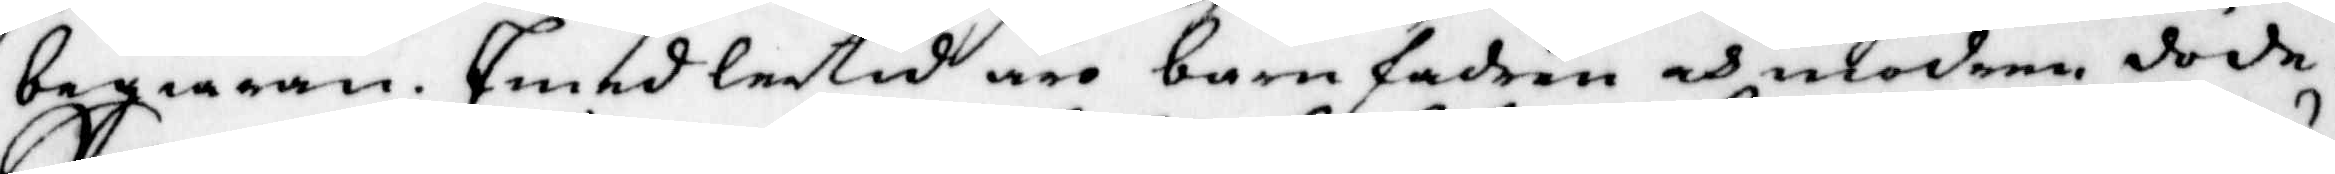begiäran. Emedlertid äro barnfadren och modren döde.
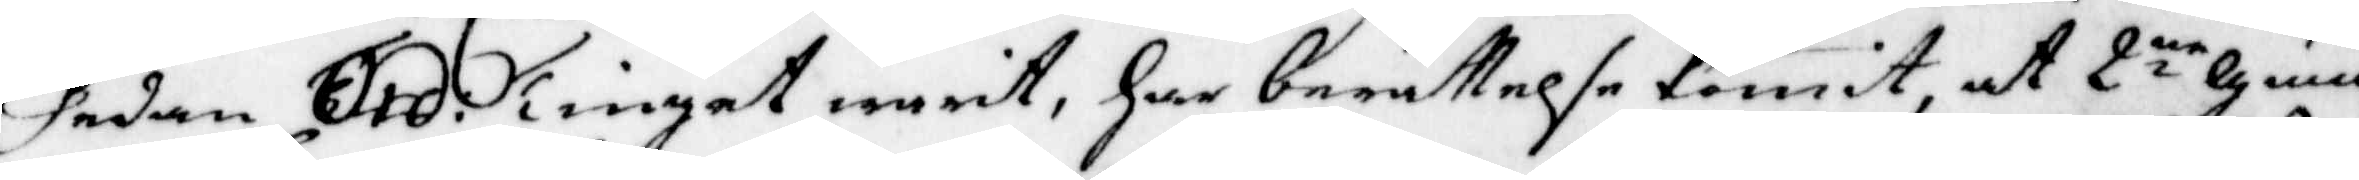Sedan Ord. Tinget warit, har berättelse komit at 2:ne Gum¬
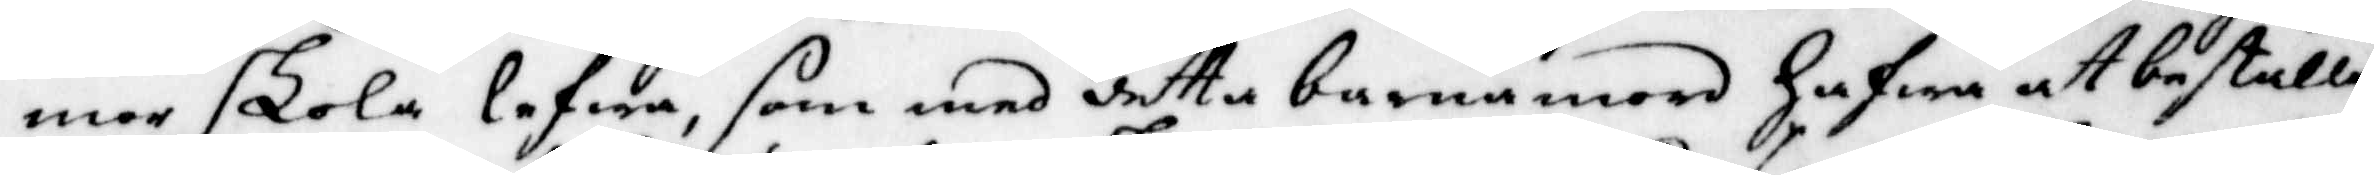mer skola lefwa, som med detta barnamord hafwa att beställa
